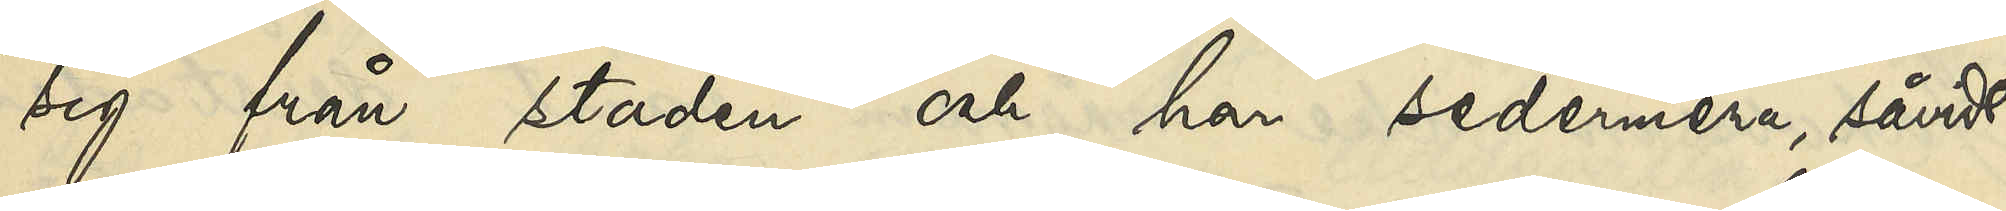sig från staden och har sedermera, såvidt
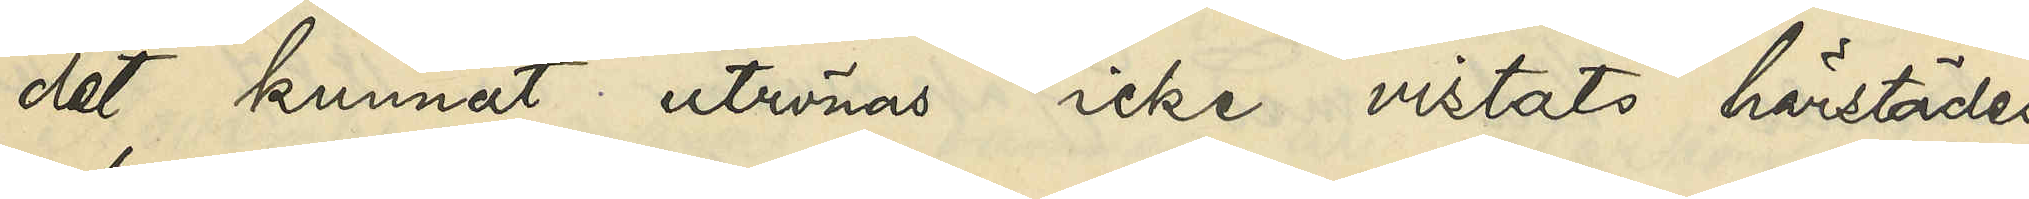det kunnat utrönas icke vistats härstädes.
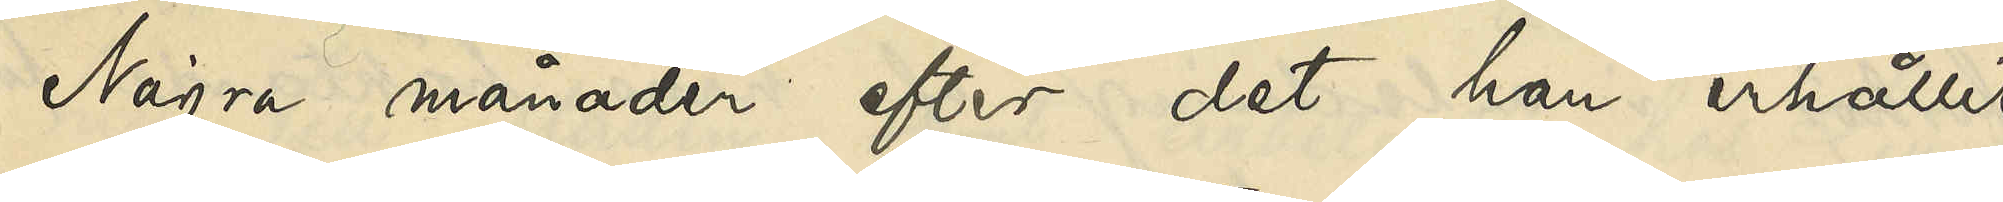Några månader efter det han erhållit
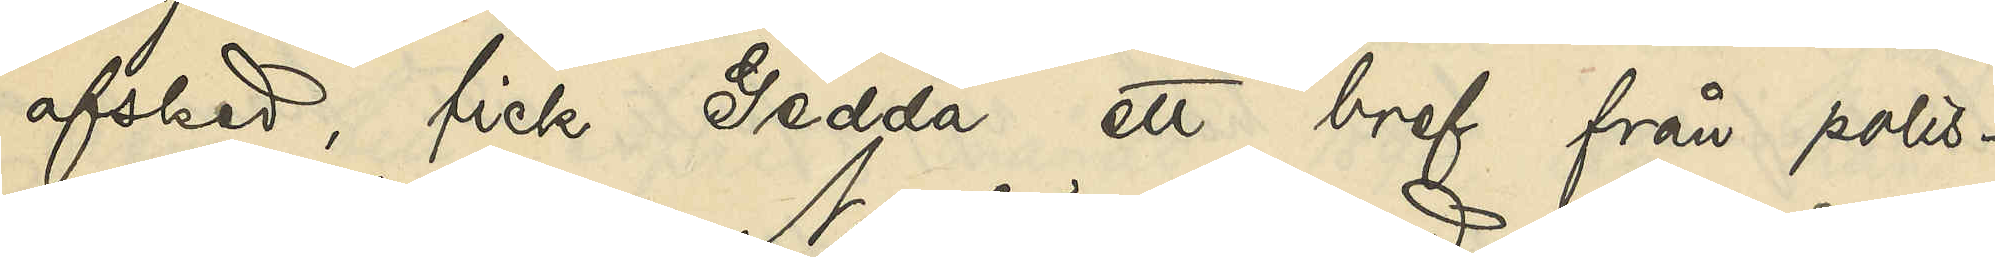afsked, fick Gedda ett bref från polis¬
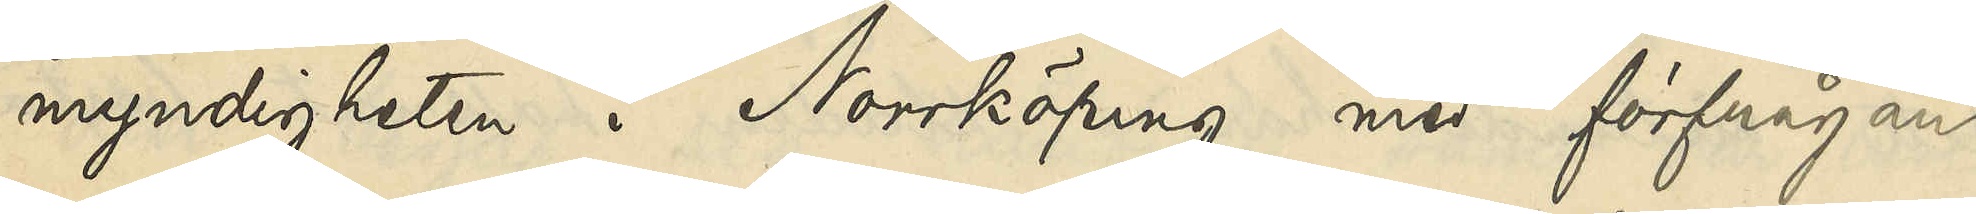myndigheten i Norrköping med förfrågan,
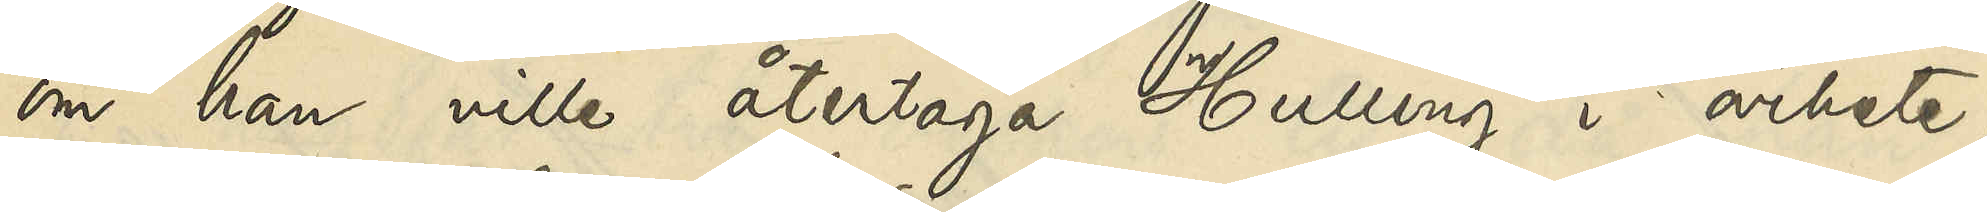om han ville återtaga Hulling i arbete,
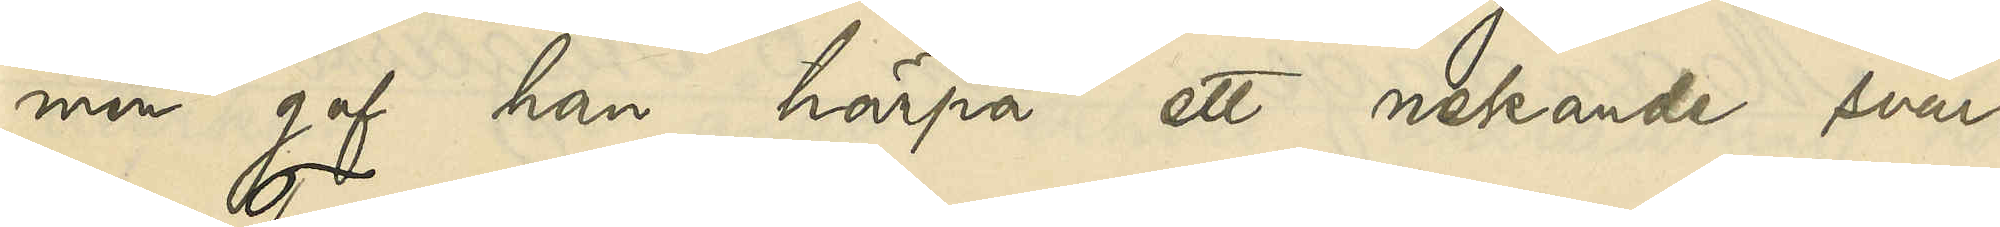men gaf han härpå ett nekande svar.
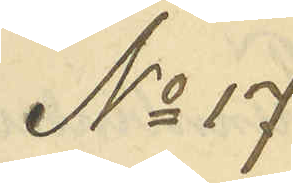No 17
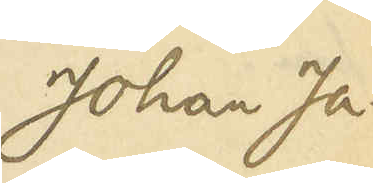Johan Ja¬
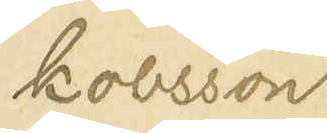kobsson
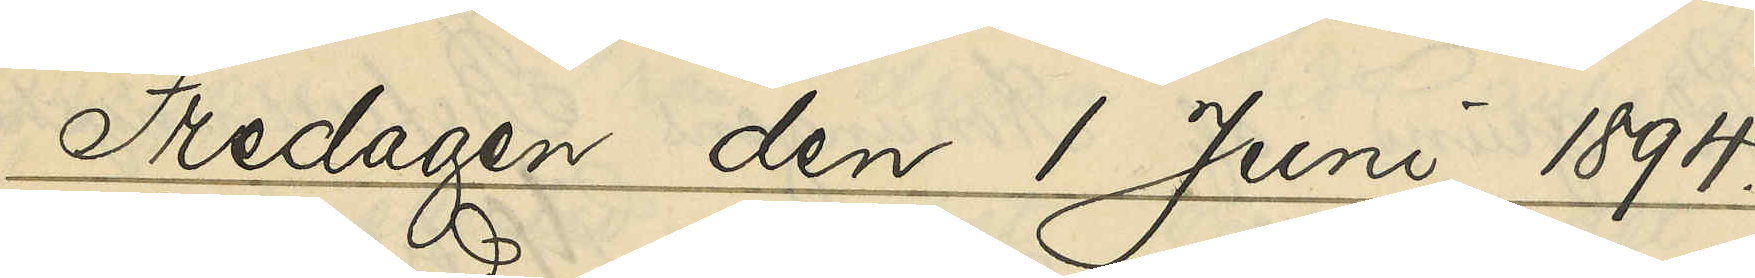Fredagen den 1 Juni 1894.
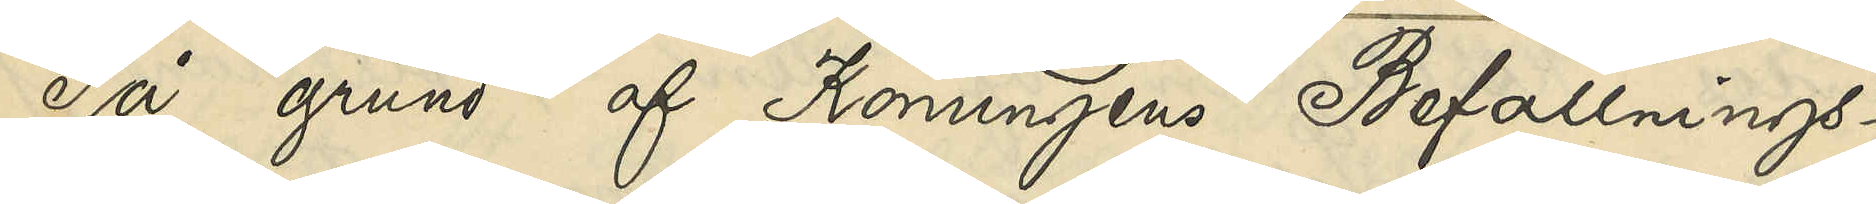På grund af Konungens Befallnings¬
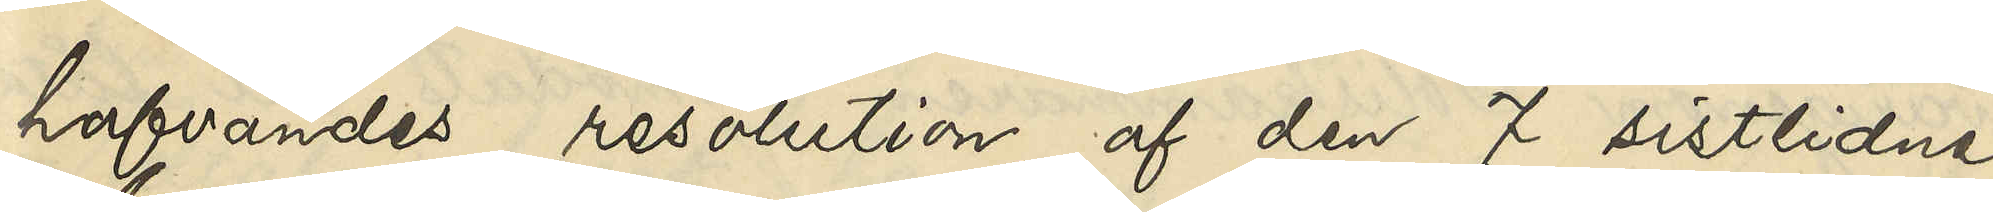hafvandes resolution af den 7 sistlidne
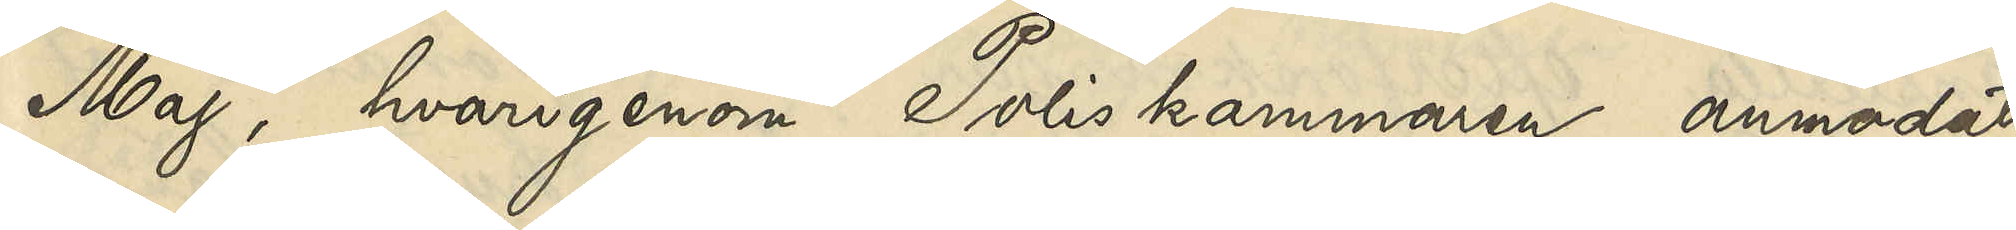Maj, hvarigenom Poliskammaren anmodats
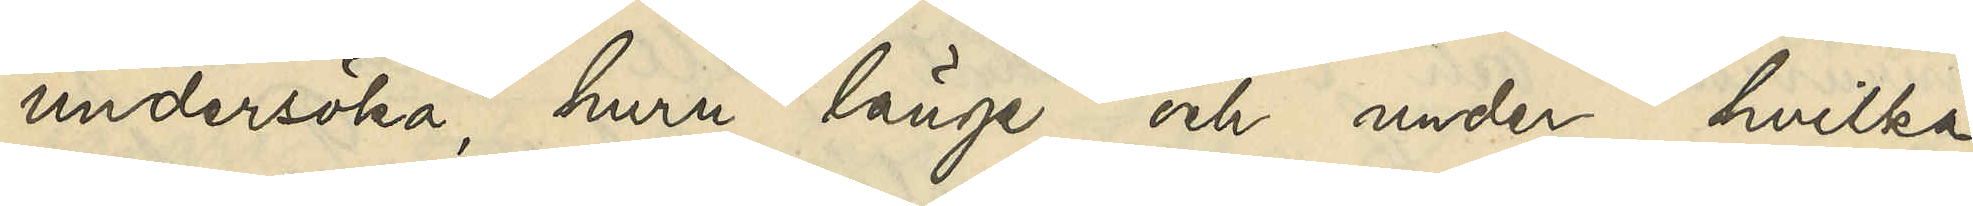undersöka, huru länge och under hvilka
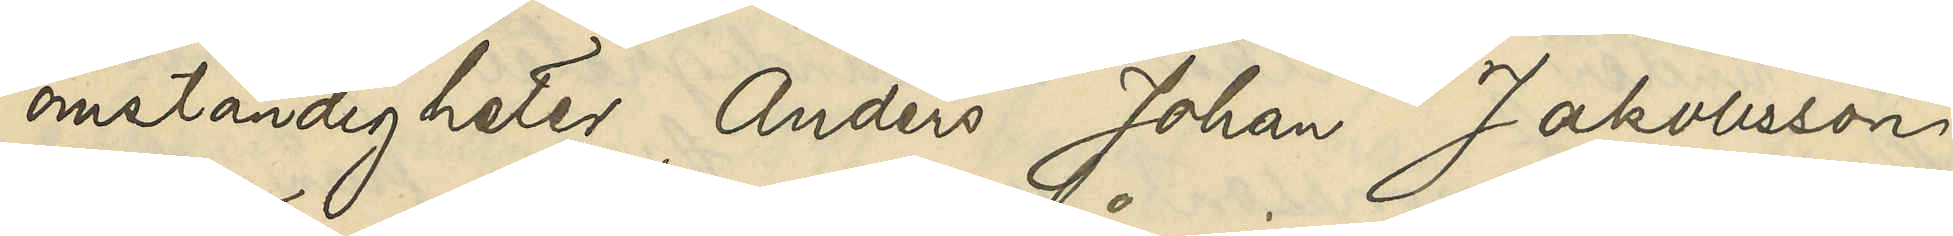omständigheter Anders Johan Jakobsson
